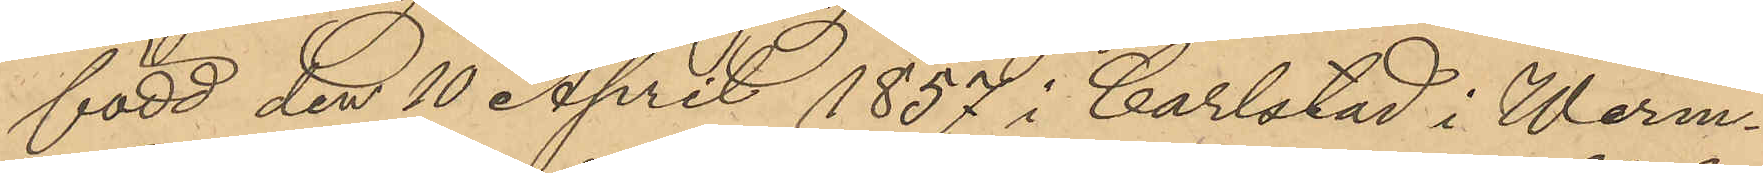född den 10 April 1887 i Carlstad i Werm¬
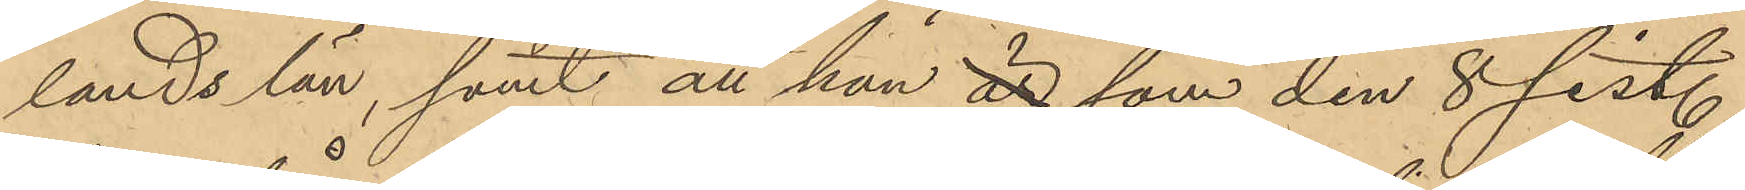lands län; samt att han, är som den 8 sist.
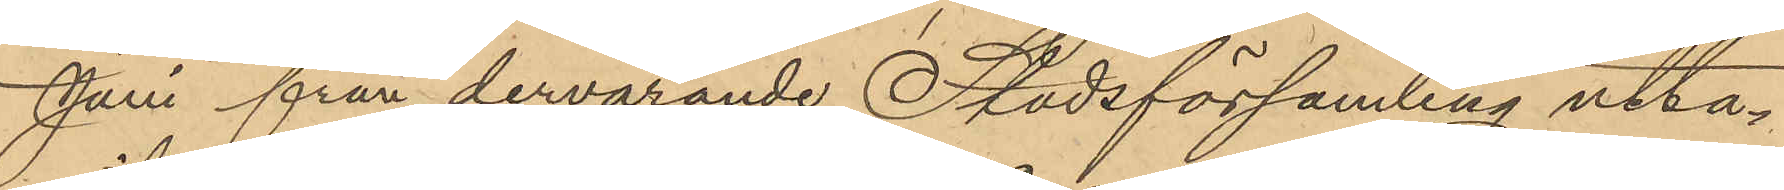Juni från dervarande Stadsförsamling utta¬
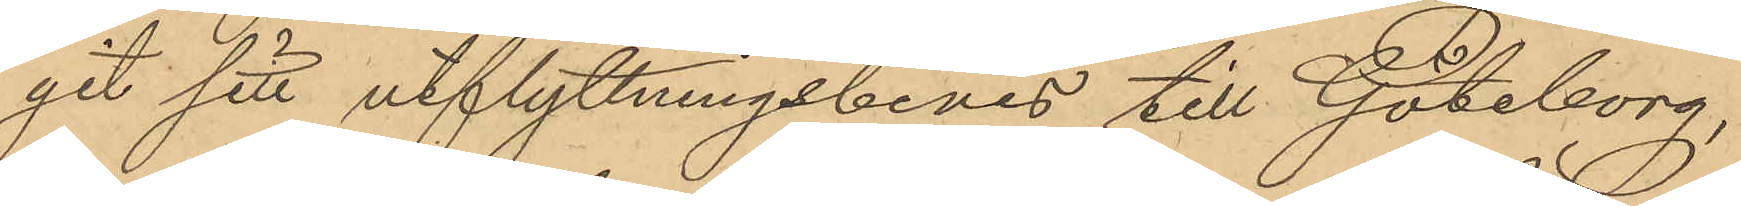git sitt utflyttningsbevis till Göteborg,
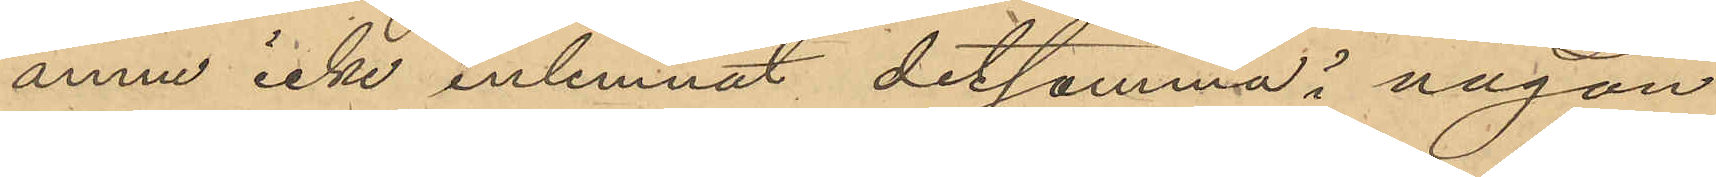ännu icke inlemnat detsamma i någon
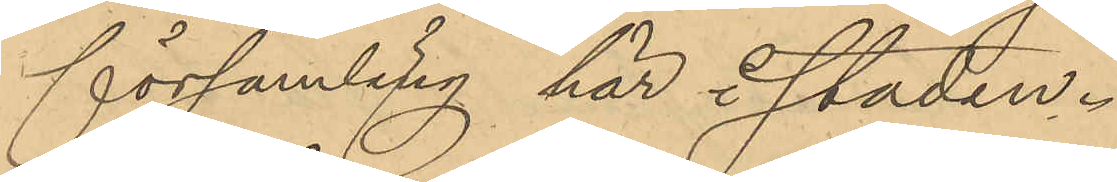församling här i staden.
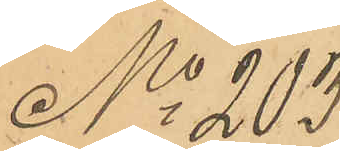No 203
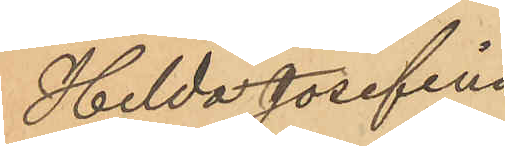Hilda Josefina
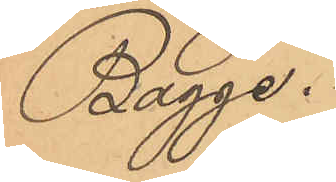Bagge.
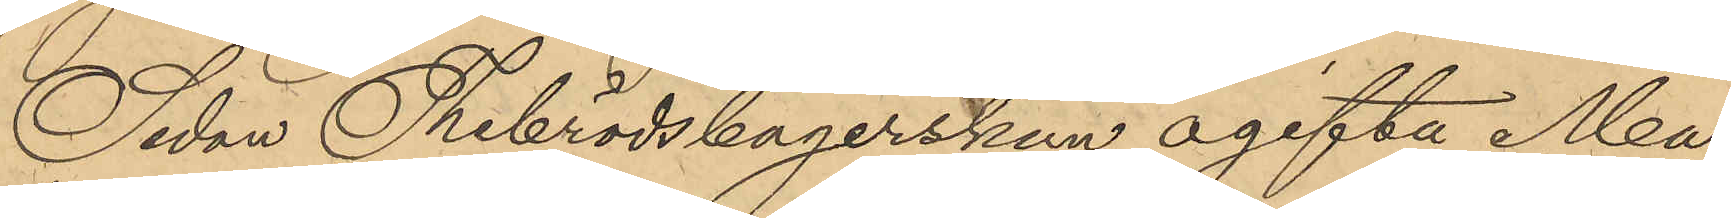Sedan Thebrödsbagerskan ogifta Ma¬
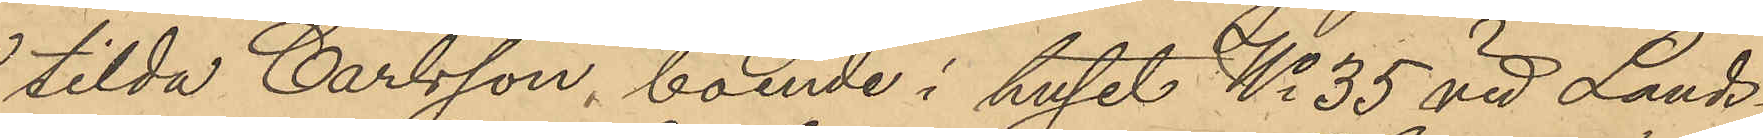tilda Carlsson, boende i huset No 35 vid Lands¬
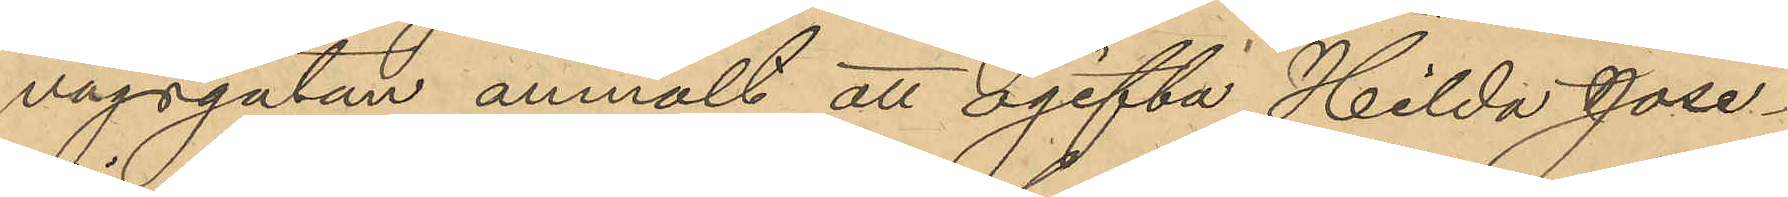vägsgatan anmält att ogifta Hilda Jose¬
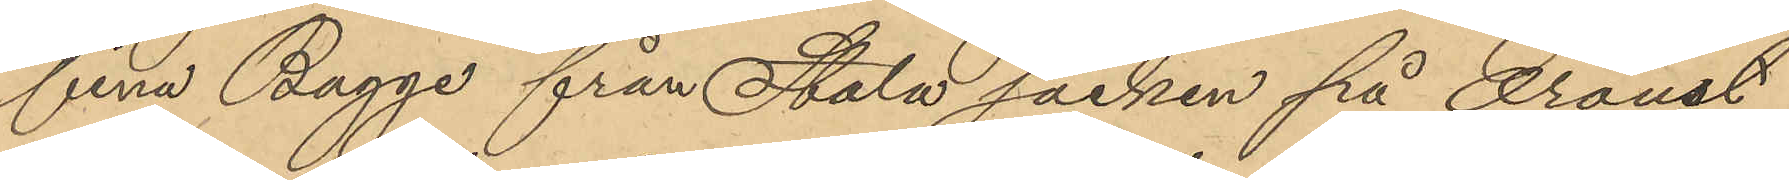fina Bagge från Stala socken på Oroust,
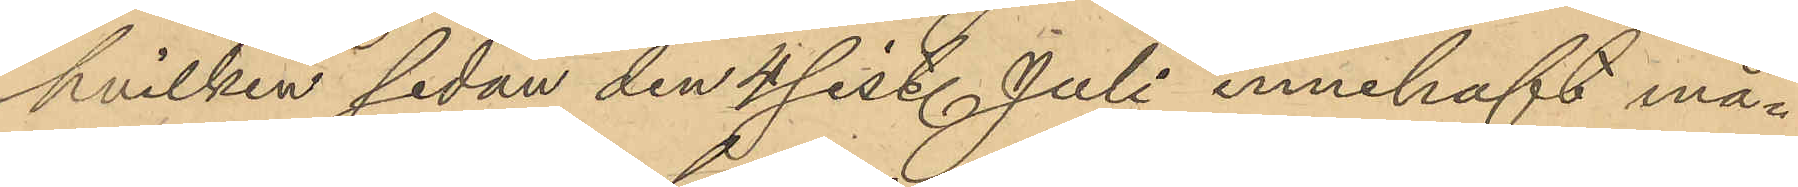hvilken sedan den 4 sist. Juli innehaft må¬
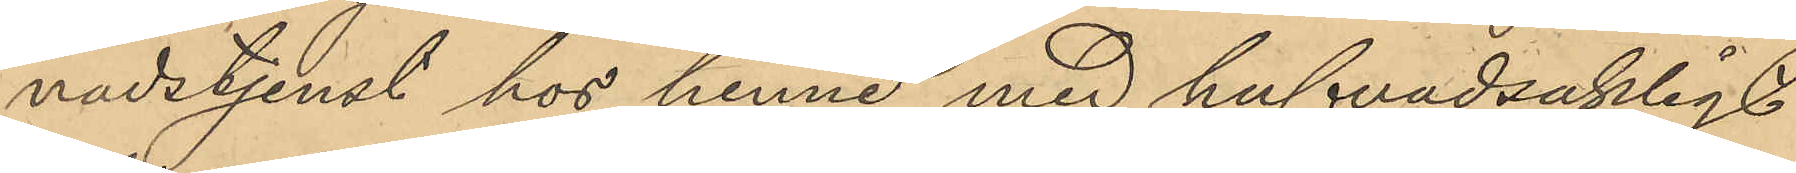nadstjenst hos henne med hufvudsakligt
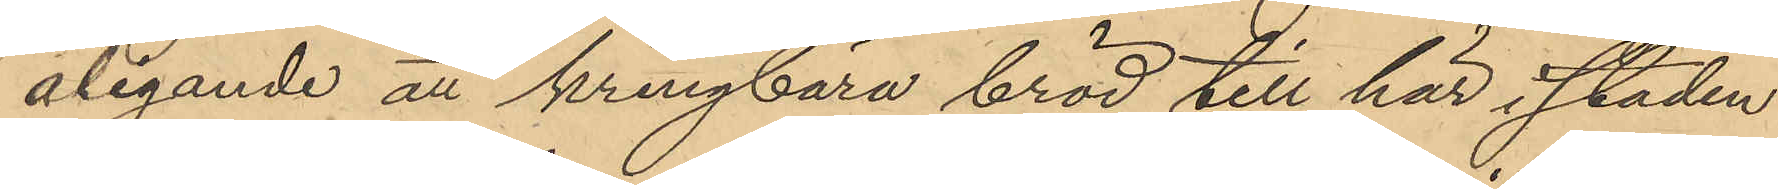åligande att kringbära bröd till här i staden
